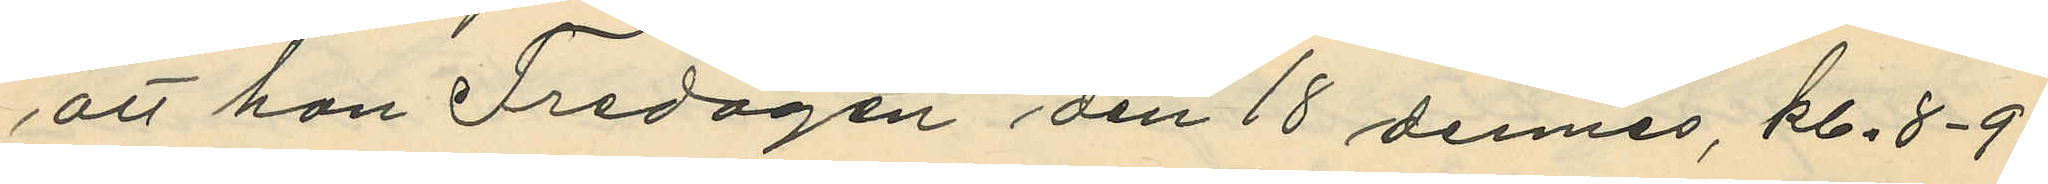att han Fredagen den 18 dennes, kl. 8-9
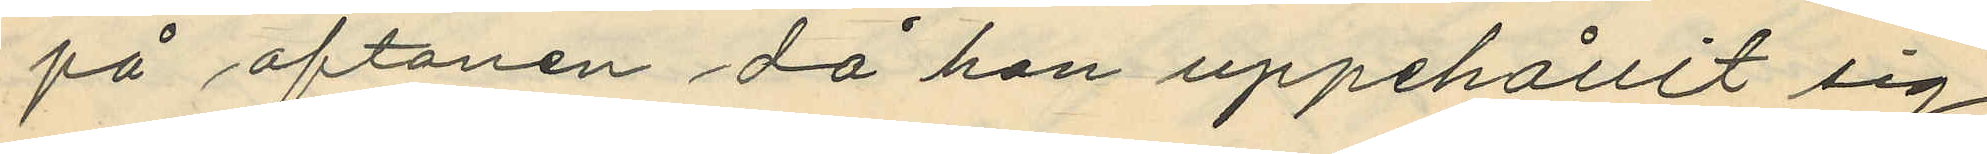på aftonen då han uppehållit sig
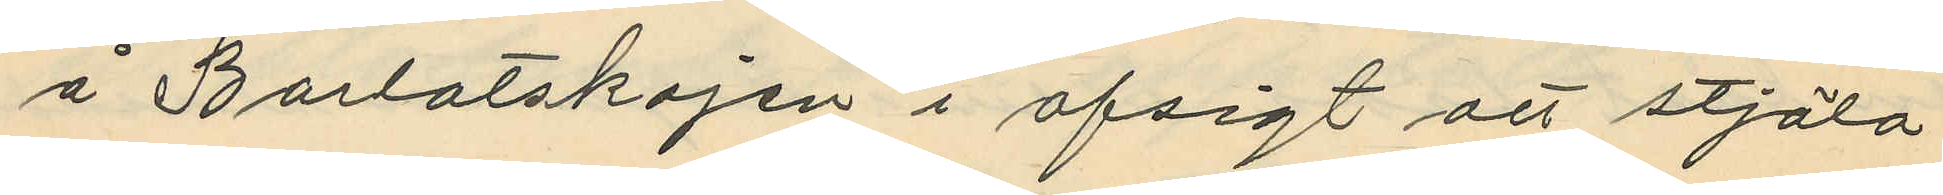å Barlastkajen i afsigt att stjäla
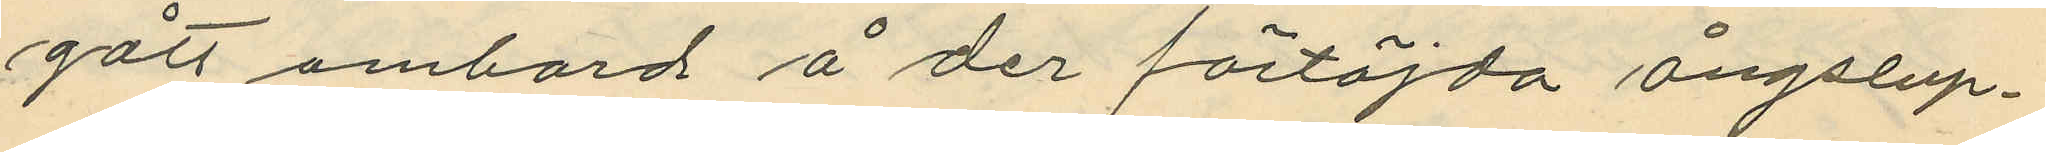gått ombord å der förtöjda ångslup¬
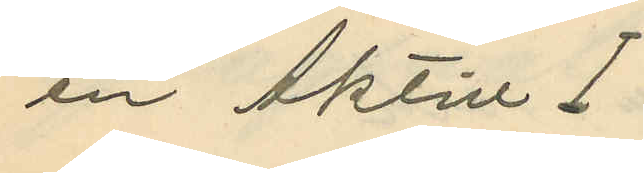en Aktiv I
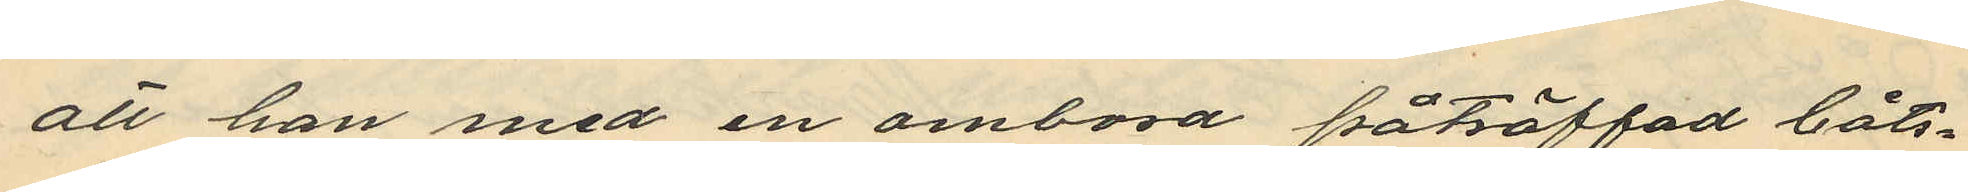att han med en ombord påträffad båts¬
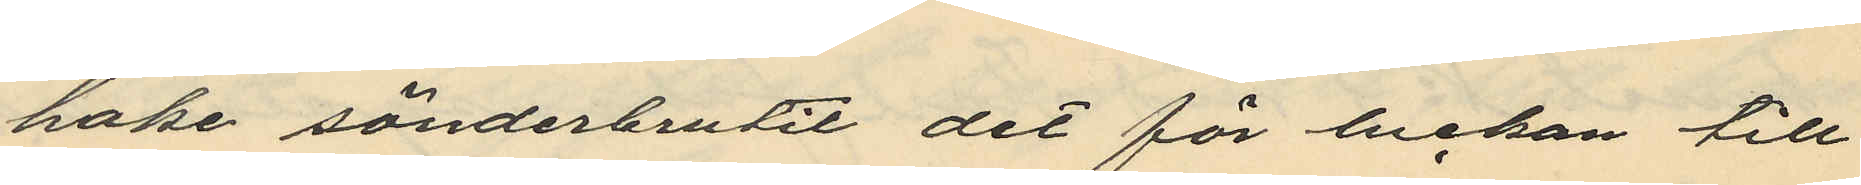hake sönderbrutit det för luckan till
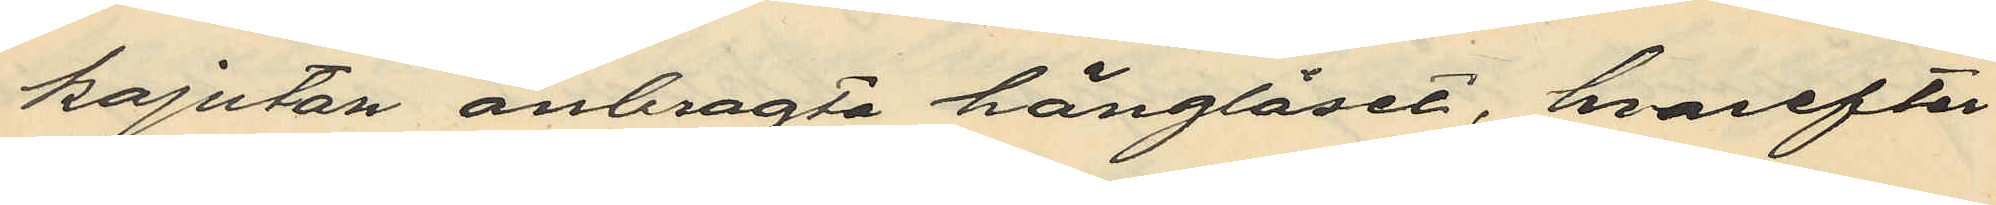kajutan anbragta hänglåset, hvarefter
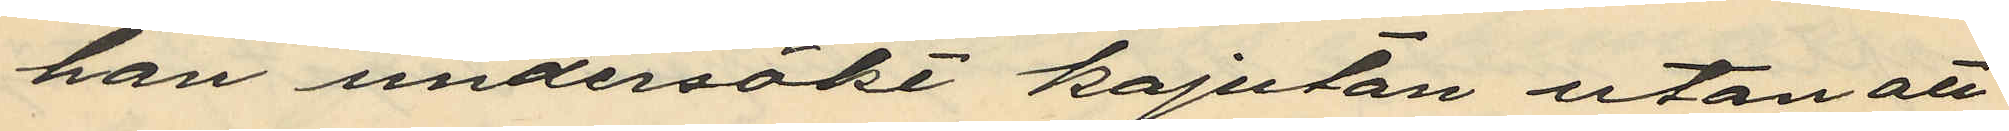han undersökt kajutan utan att
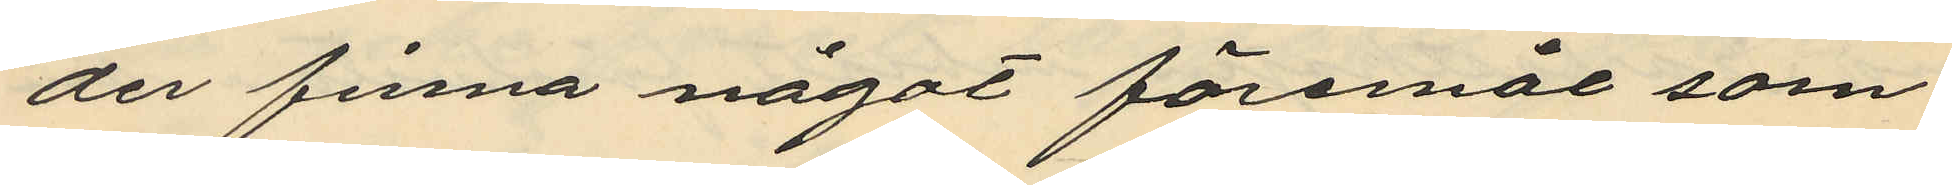der finna något föremål som
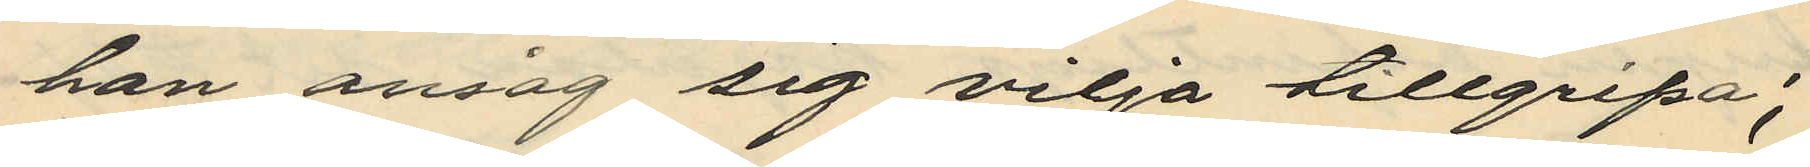han ansåg sig vilja tillgripa;
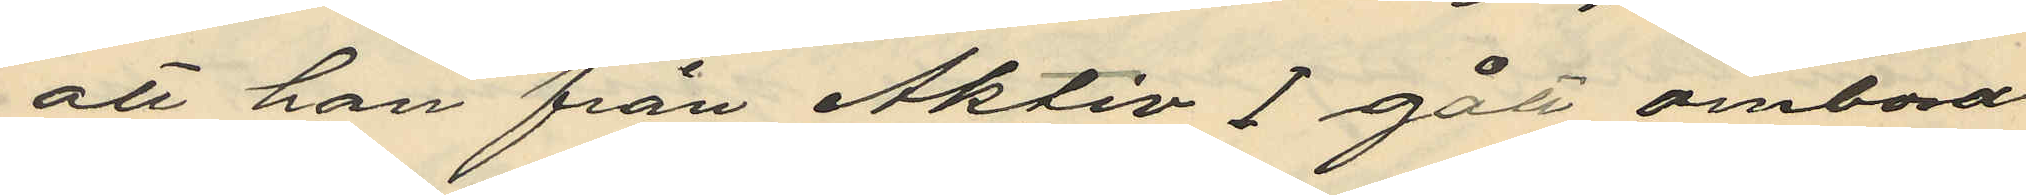att han från Aktiv I gått ombord
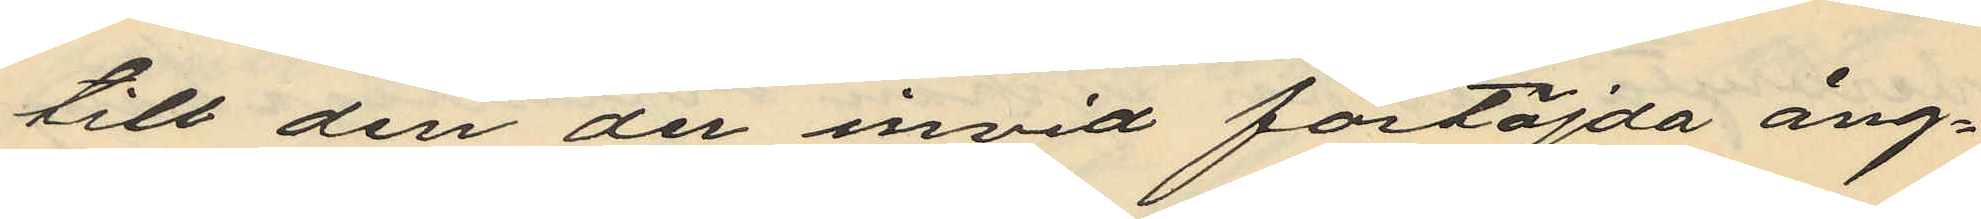till den der invid förtöjda ång¬
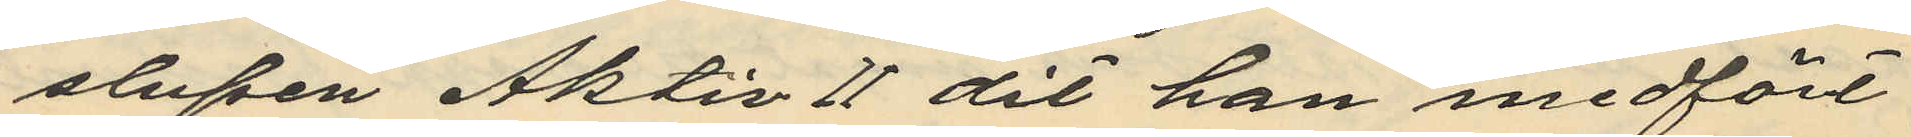slupen Aktiv II dit han medfört
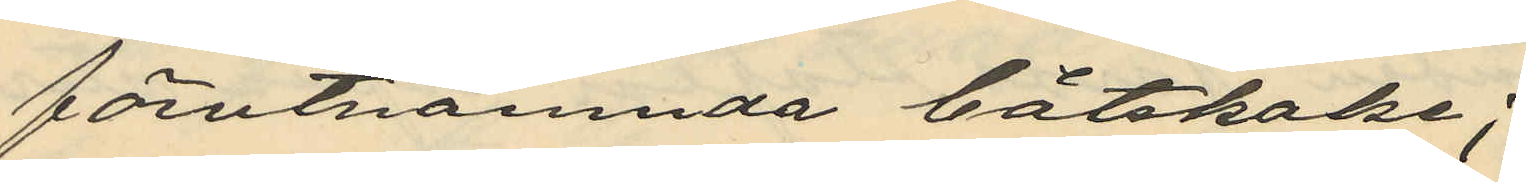förutnämnda båtshake;
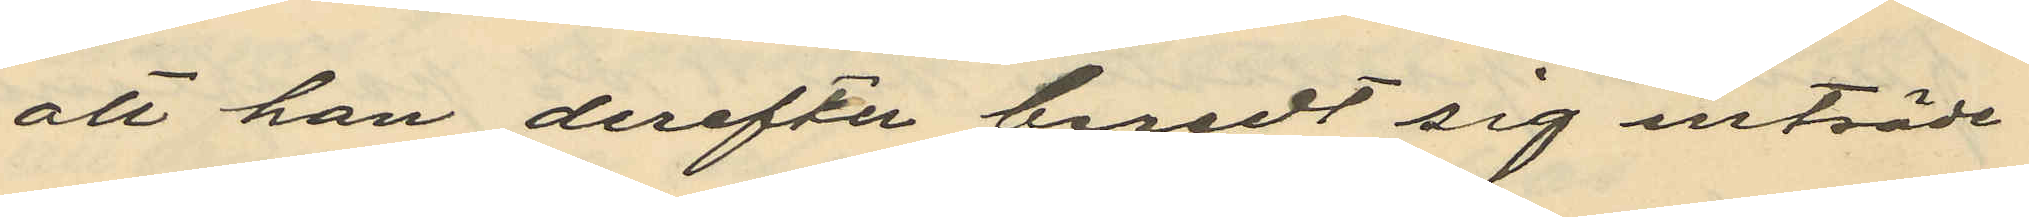att han derefter beredt sig inträde
